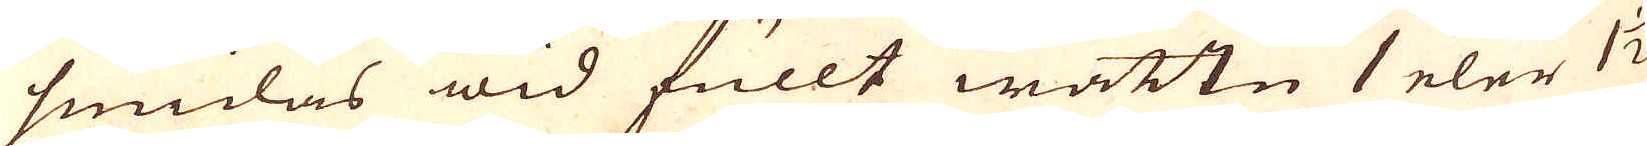smidas wid fullt wattn 1 eler 1 1/2
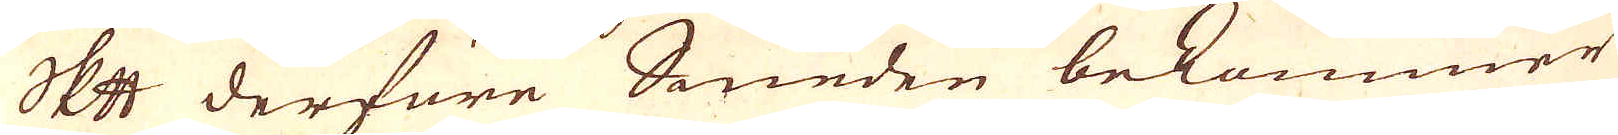skeppund derföre Smeden bekommer
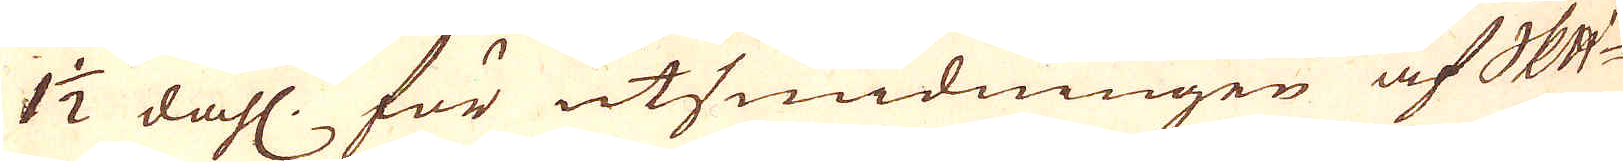1 1/2 dahl. för utsmidningen af skeppundet
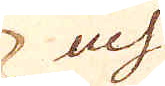och
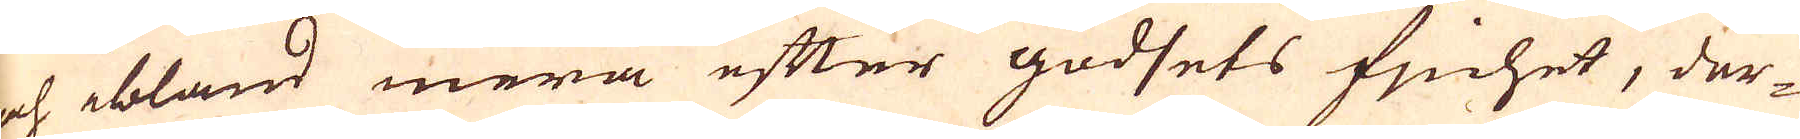och ibland mera efter godsets finhet, der-
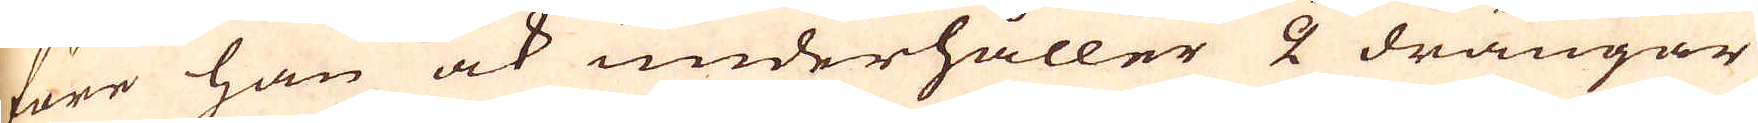före han ock underhåller 2 drängar
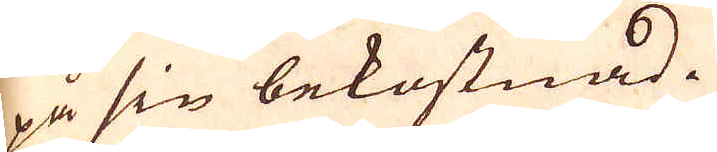på sin bekostnad.
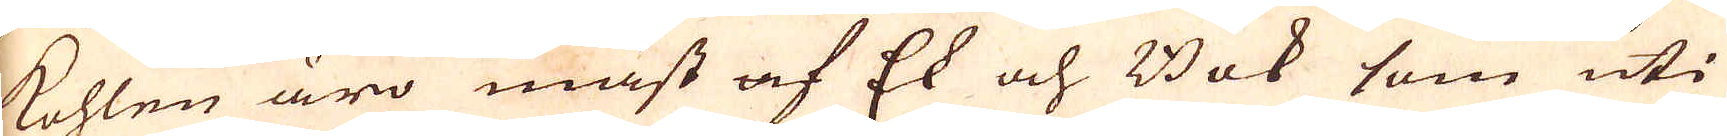Kohlen äro mäst af Ek och Bok som uti
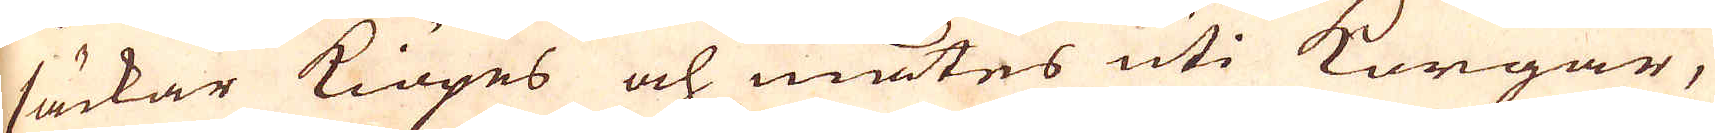säckar kiöpes och mätes uti korgar,
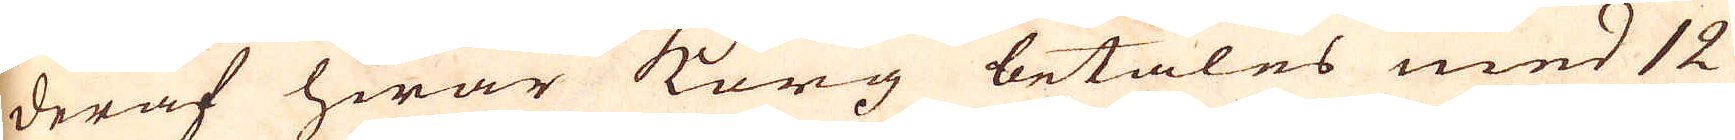deraf hwar korg betales med 12
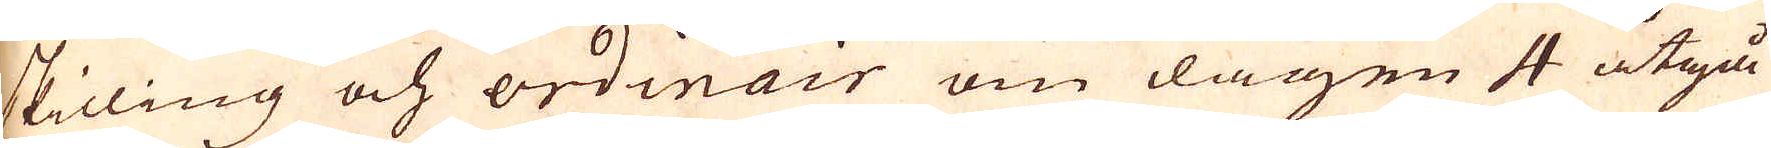skilling och ordinair om dagen 4 åtgå
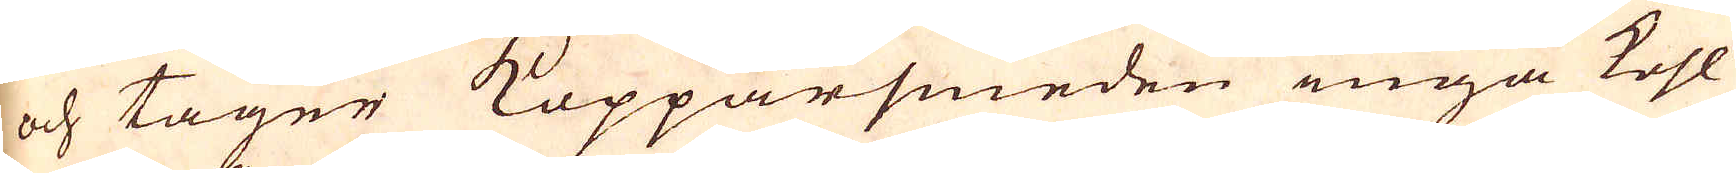och tager Kopparsmeden inga kohl
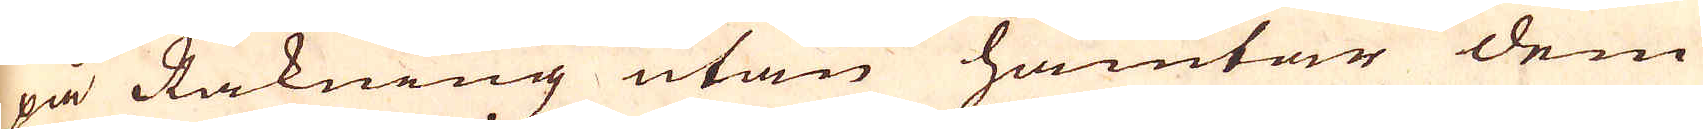på Räkning utan hämtar dem
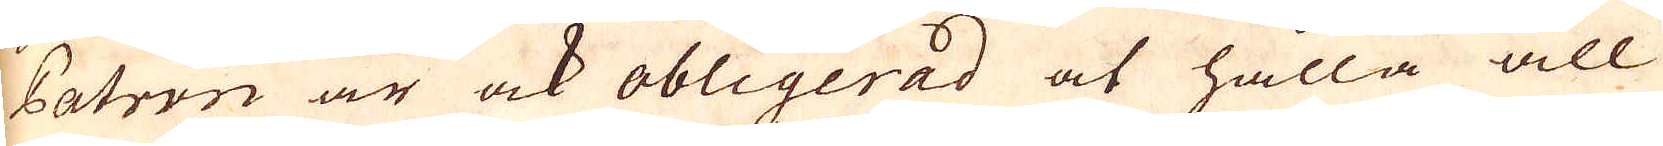Patron är ock obligerad at hålla all
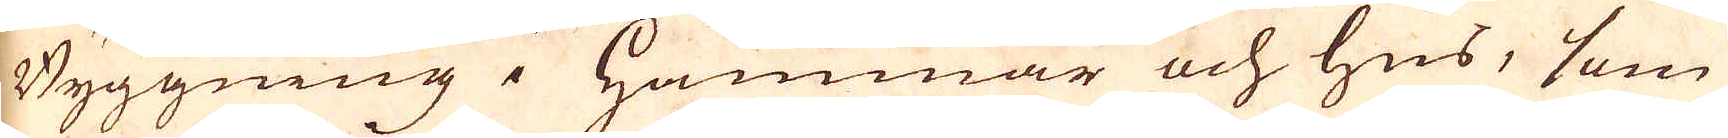Byggning i Hammar och hus, som
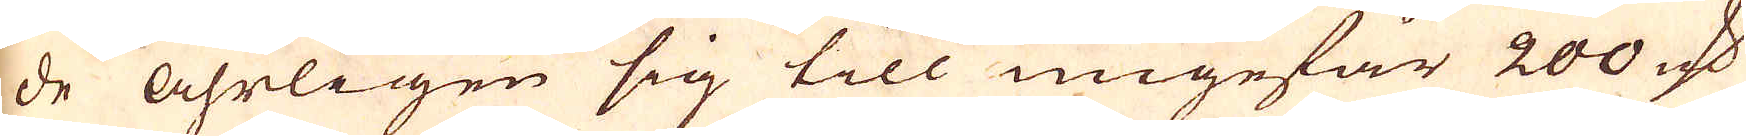de åhrligen sig till ungefär 200 marker
